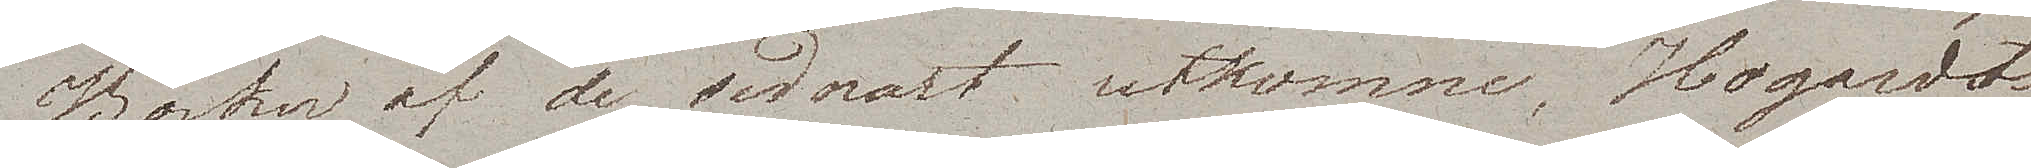Böcker af de sednast utkomne. Hogardts
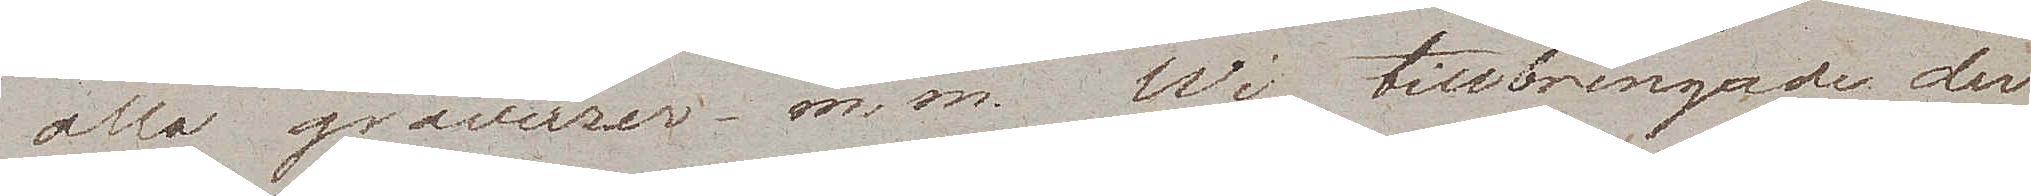alla gravurer m.m. Wi tillbringade der
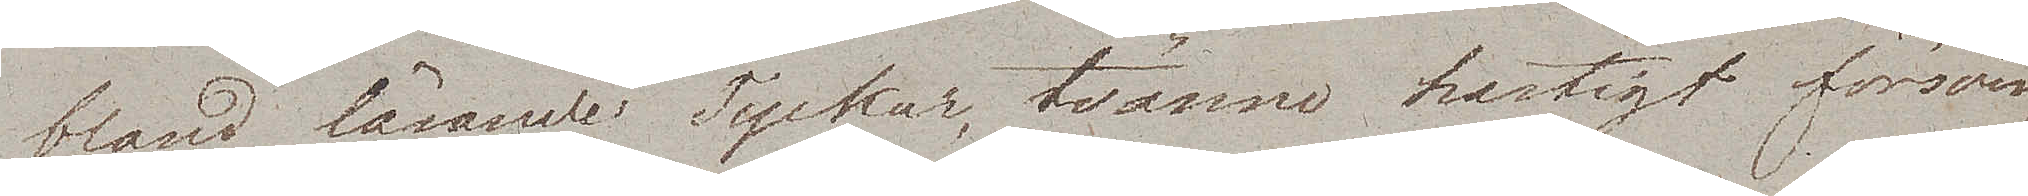bland läsande Tyskar, tvänne hastigt försvin¬
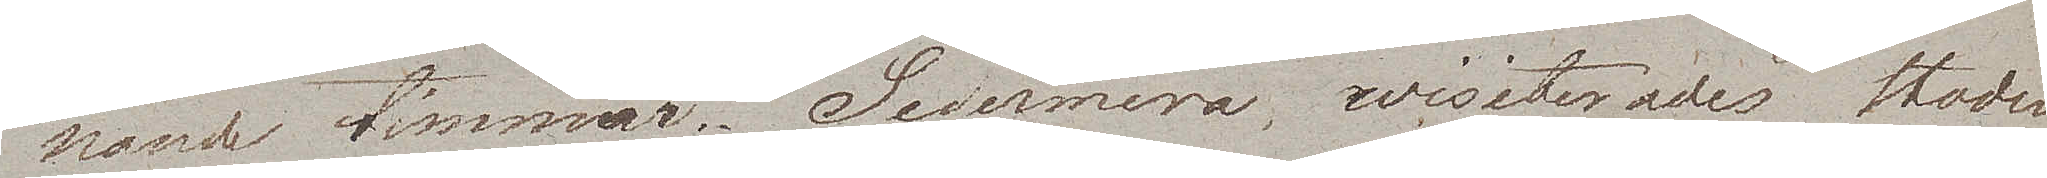nande timmar. Sedermera wisiterades staden
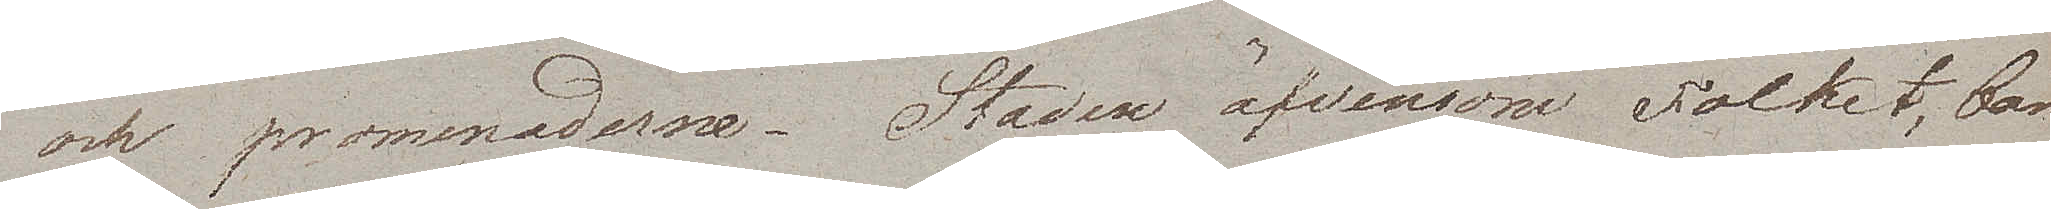och promenaderna. Staden äfvensom Folket, bär
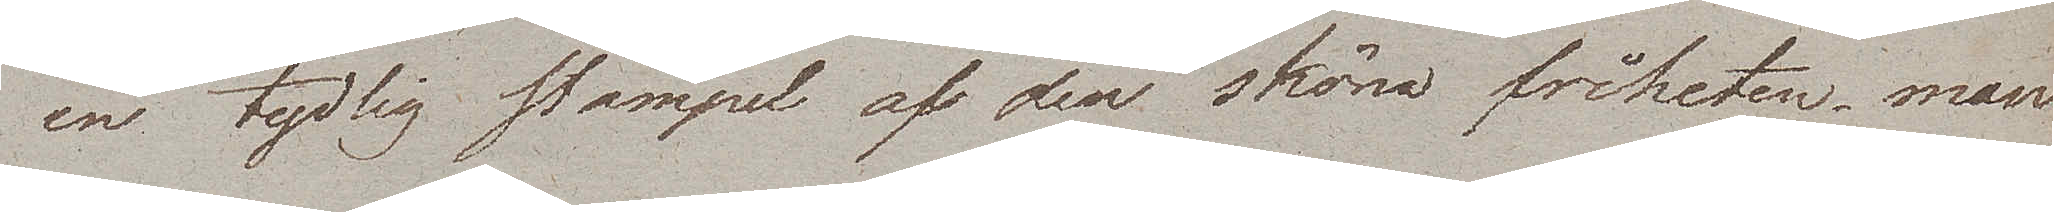en tydlig stämpel af den sköna friheten, man
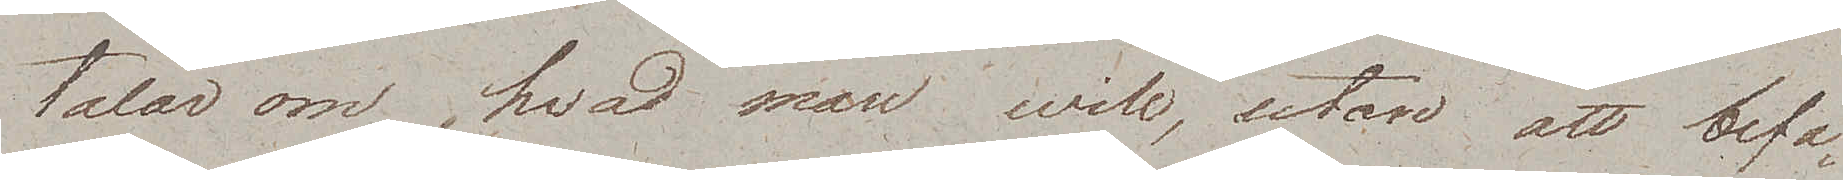talar om hvad man will, utan att befa¬
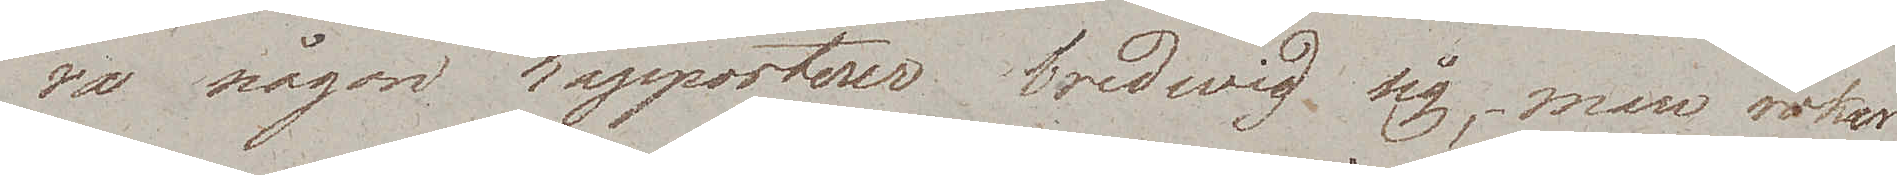ra någon rapporteur bredwid sig, man röker
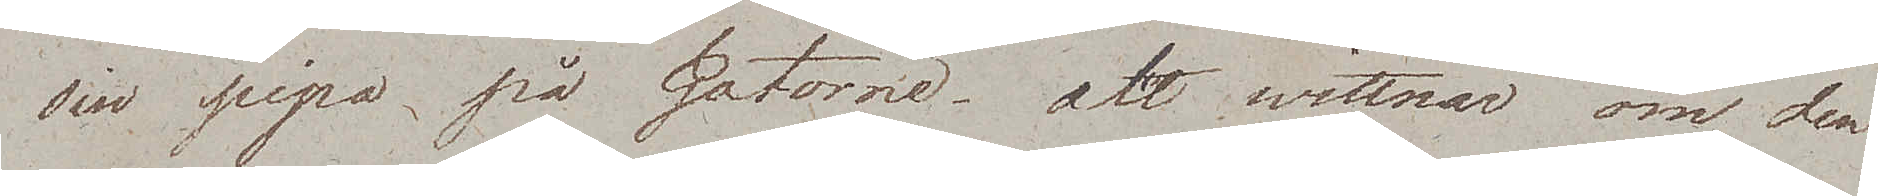sin pipa på Gatorne, alt wittnar om den
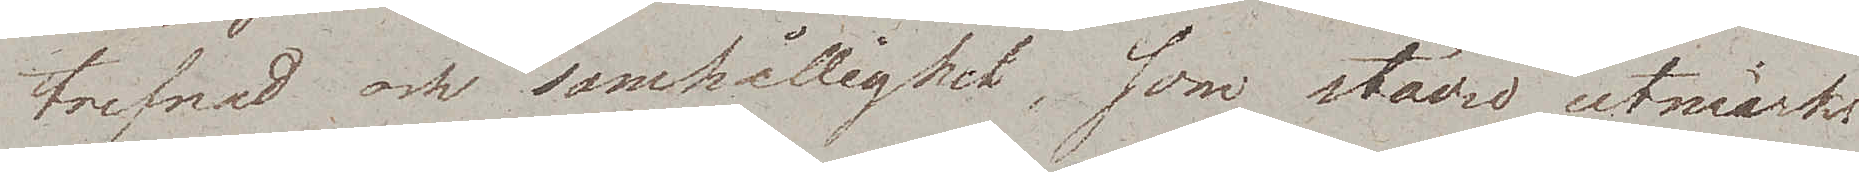trefnad och samhållighet, som städse utmärka
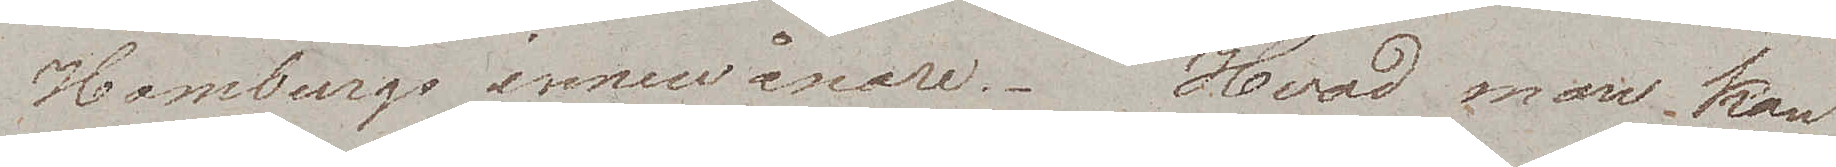Hamburgs innevånare. Hvad man kan
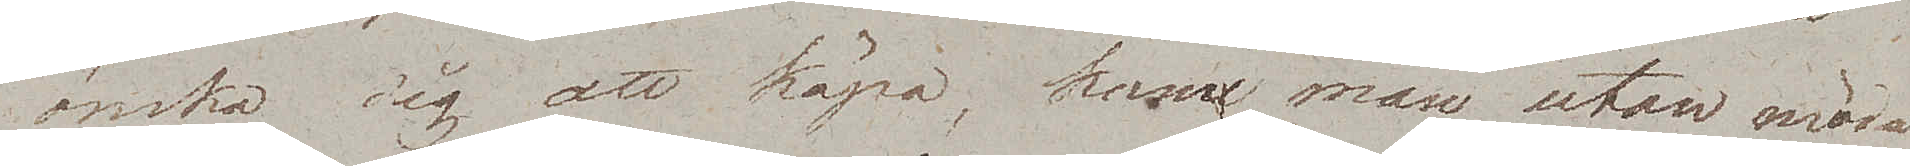önska sig att köpa, kan man utan möda
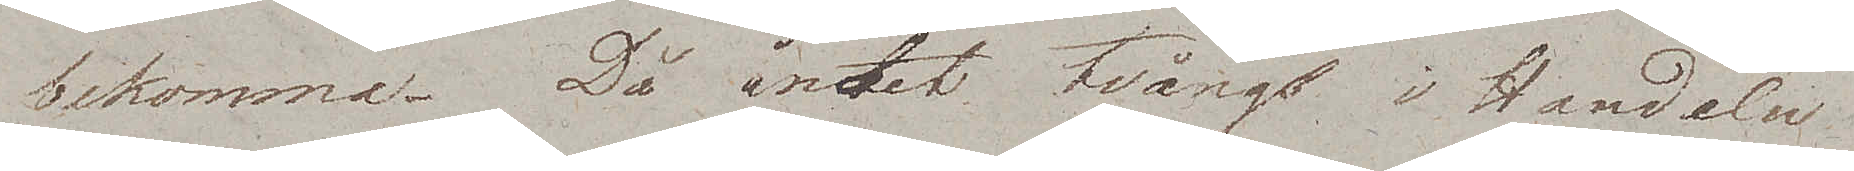bekomma. Då intet tvång i Handeln
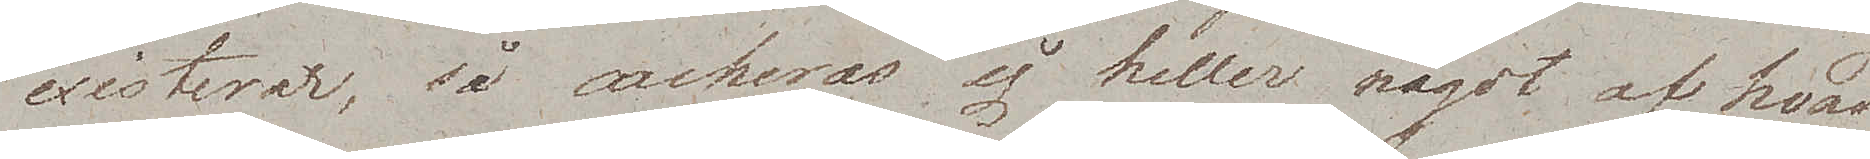existerar, så cacheras ej heller något af hvad
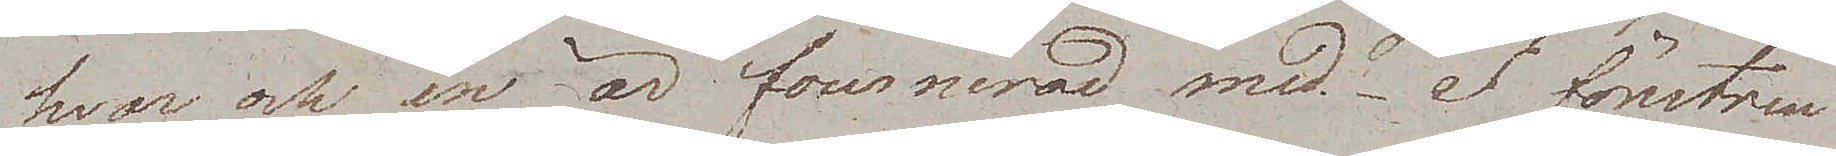hvar och en är fournerad med. I fönstren
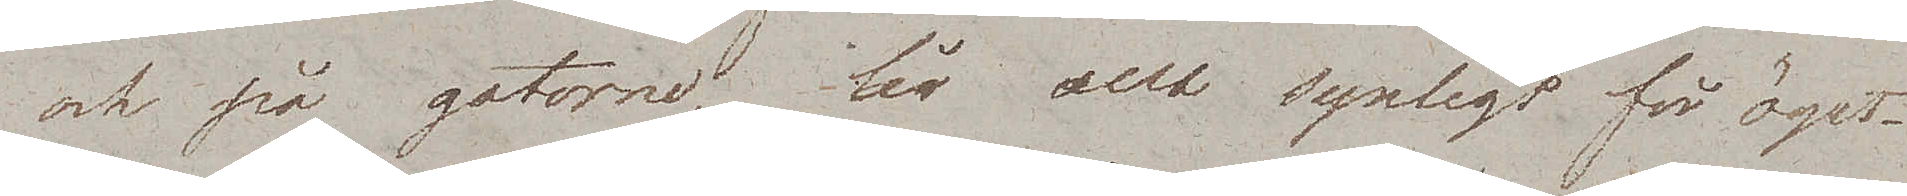och på gatorne är allt synligt för ögat.¬
